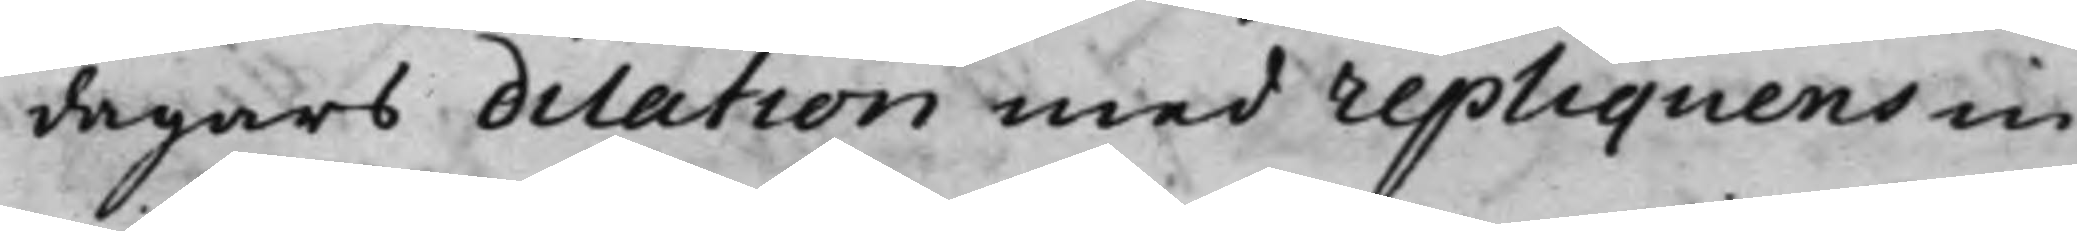dagars dilation med repliquens in¬
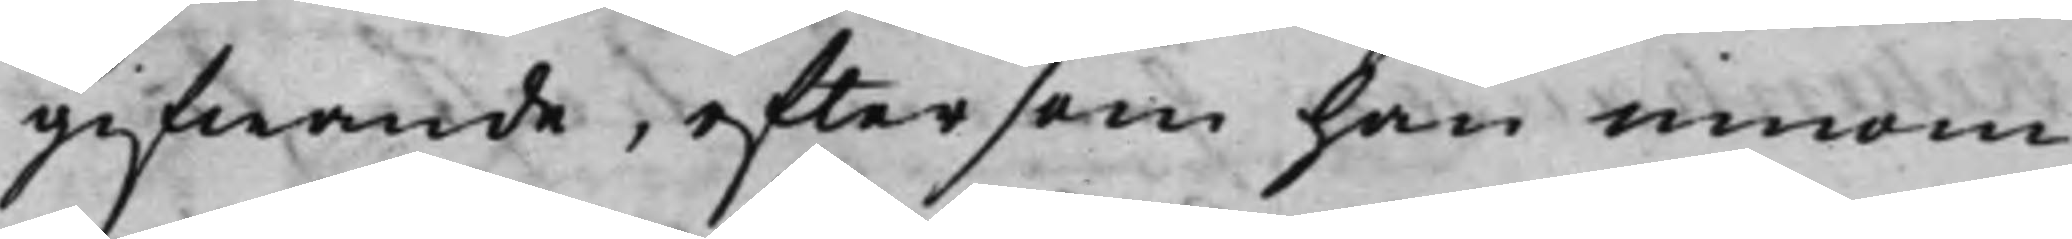gifwande, eftersom han innom
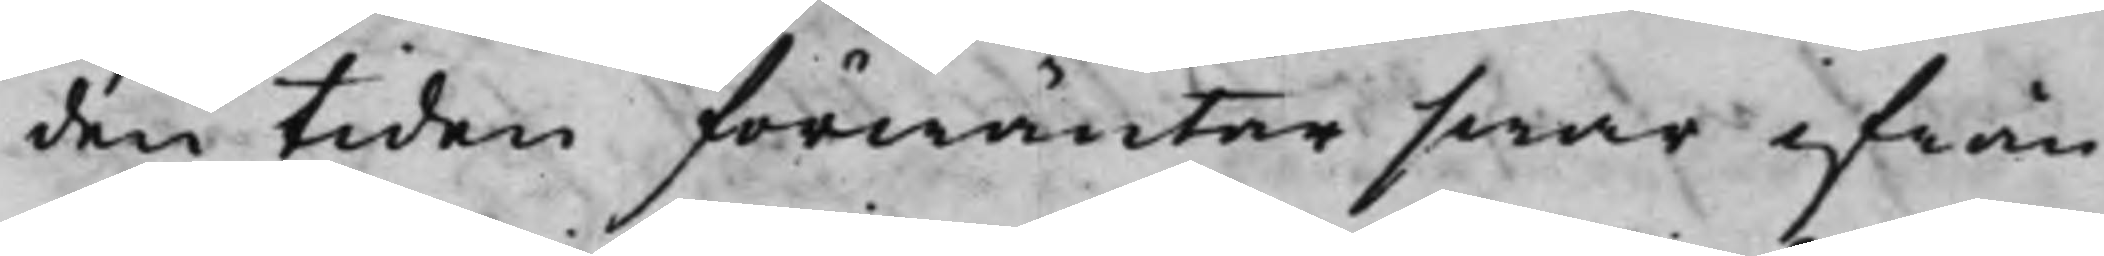den tiden förwäntar swar ifrån
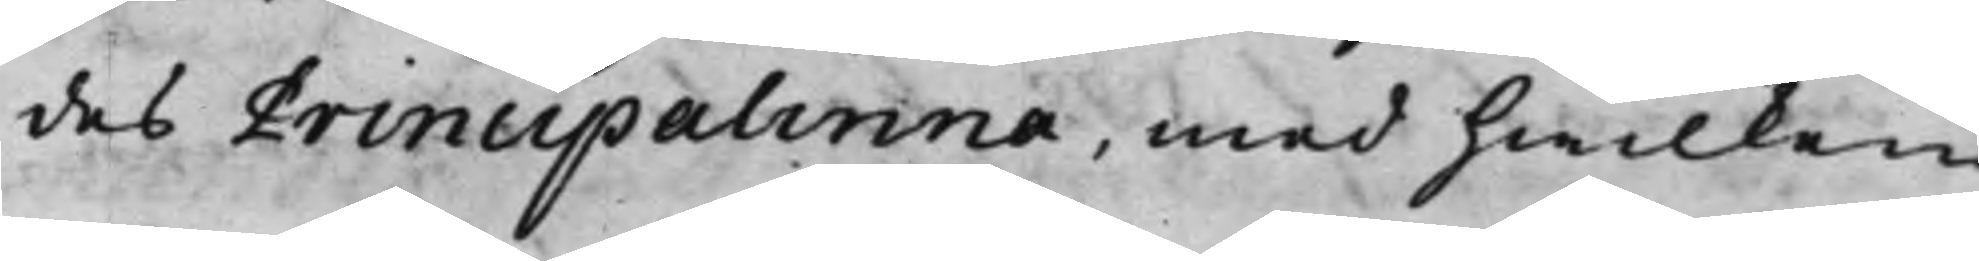des Principalinna, med hwilken
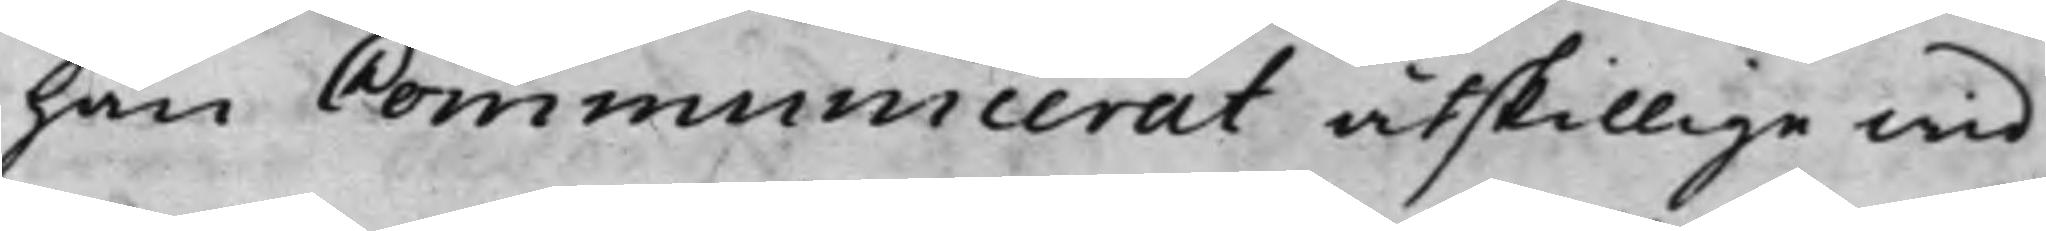han Communicerat åtskillige wid
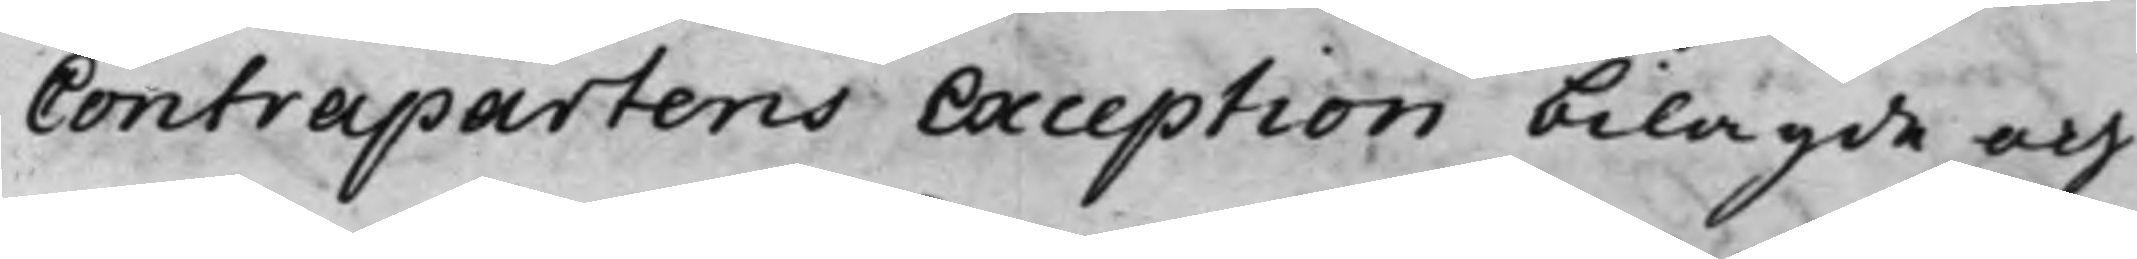Contrapartens Exception bilagde och
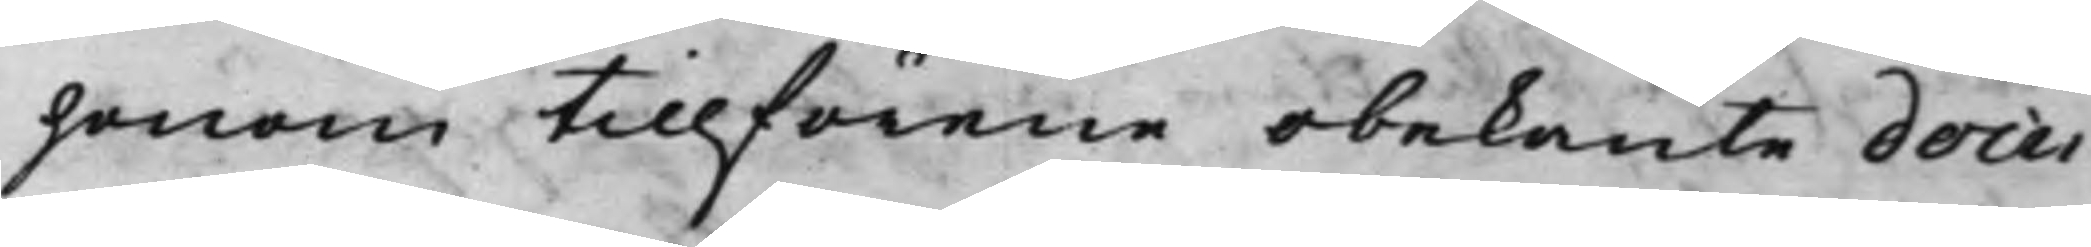honom tillförene obekante docu¬
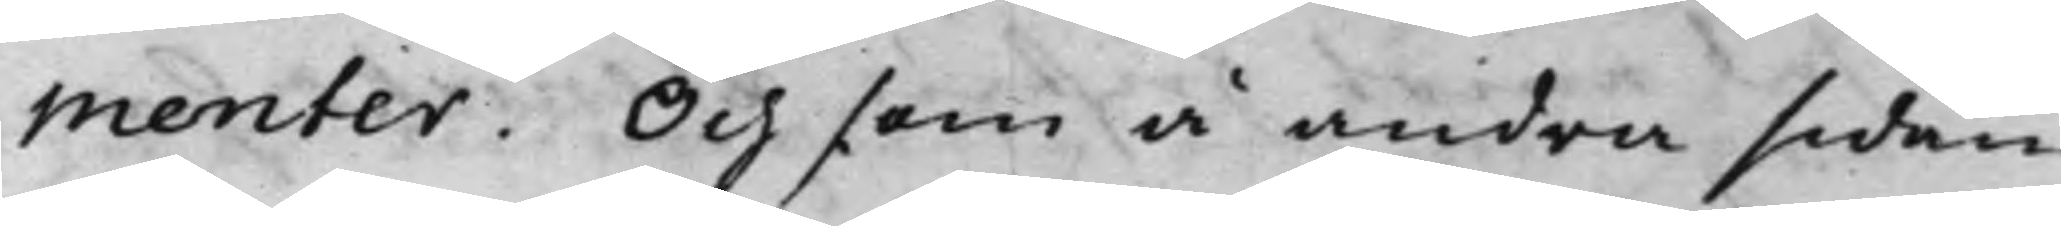menter. Och som å andra sidan
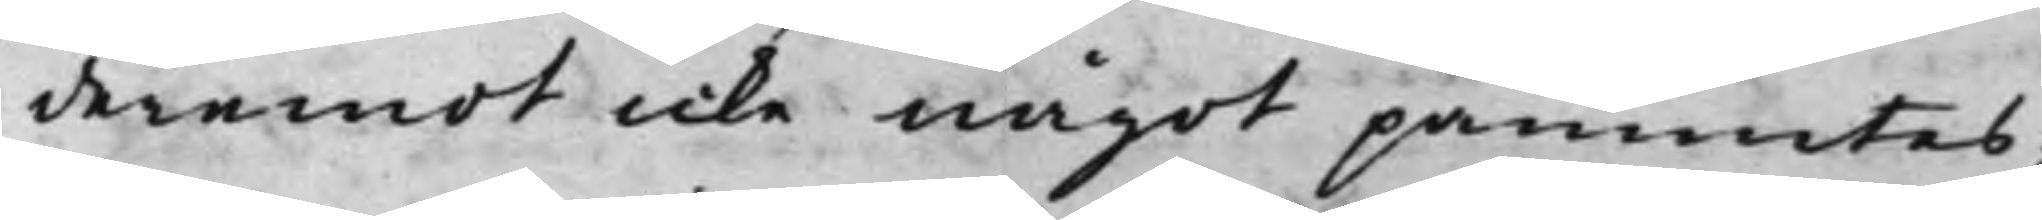deremot icke något påmintes;
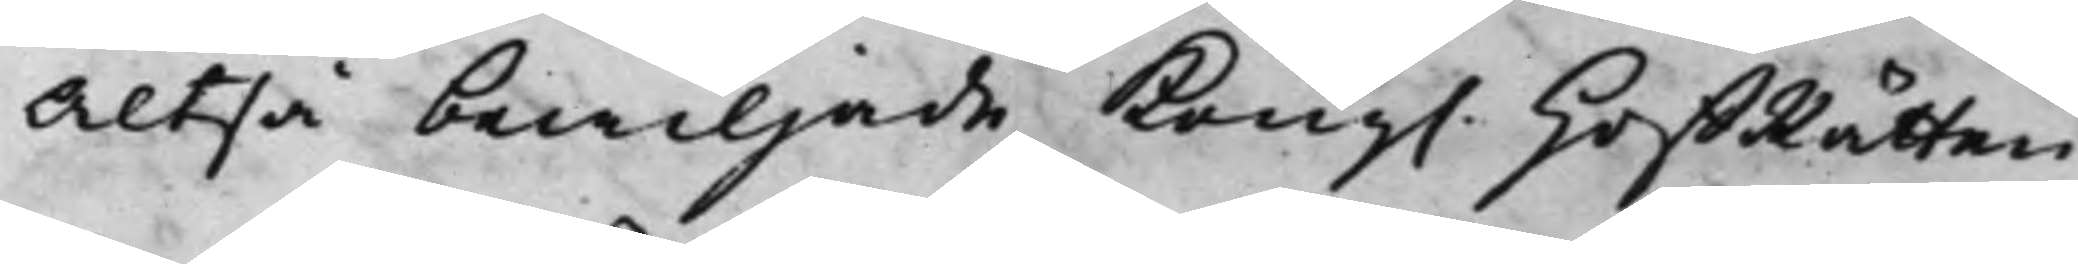Altså bewiljade Kong. HoffRätten
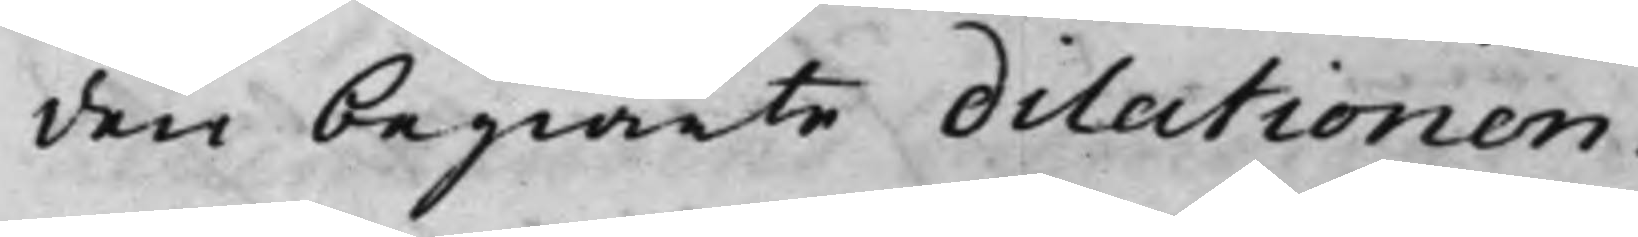den begiärte dilationen.
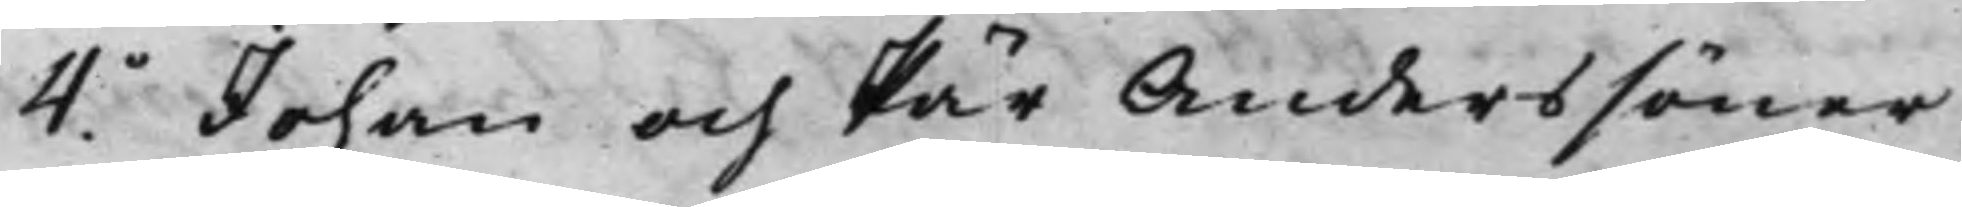4o Johan och Pär Anderssöner
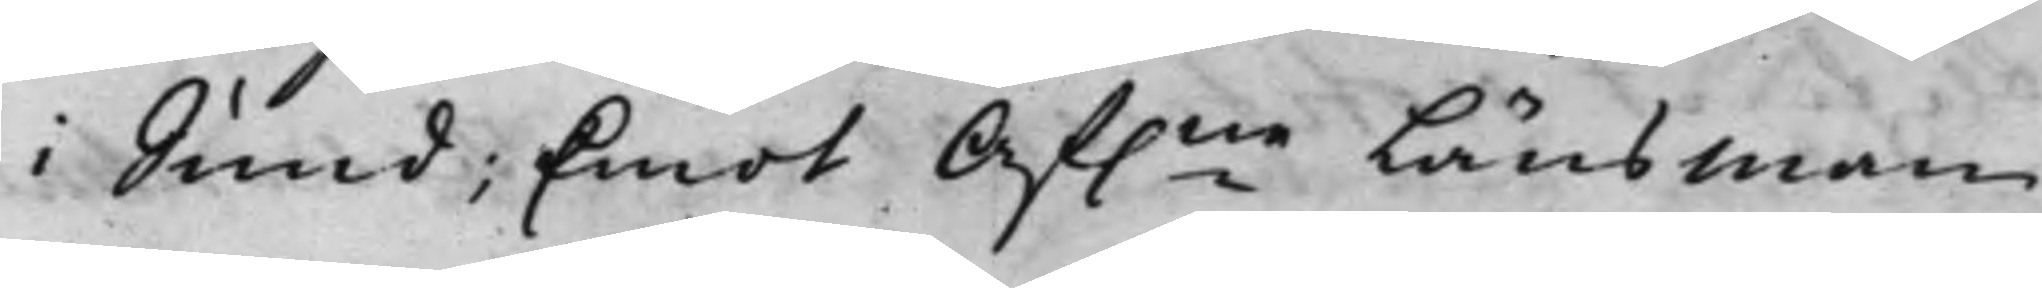i Sund; Emot Af.ne Länsman
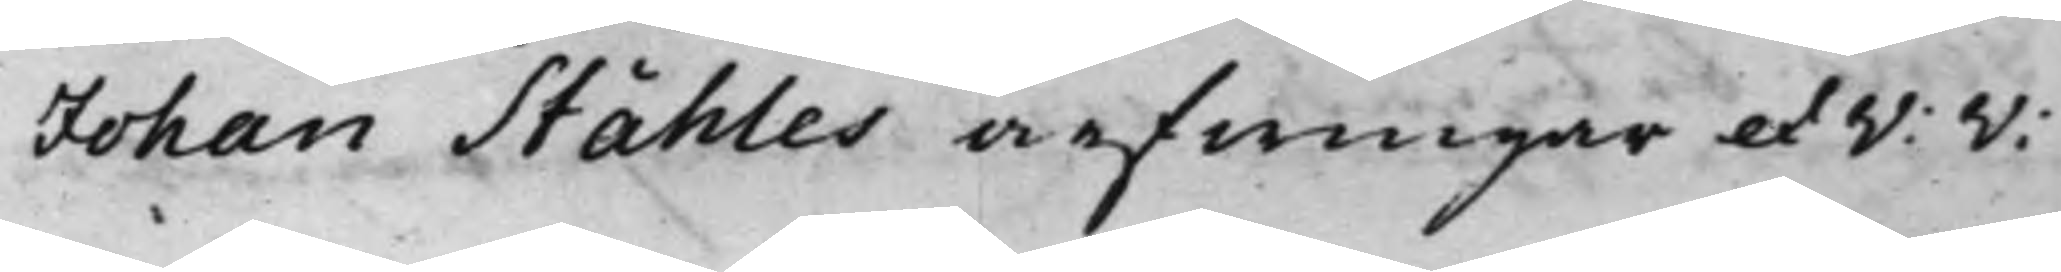Johan Ståhles arfwingar et V: V:
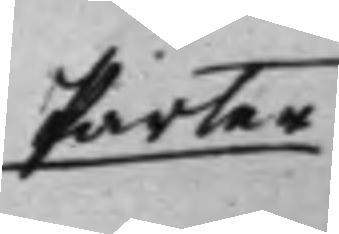Parter
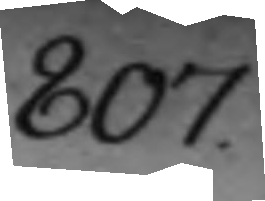807.
